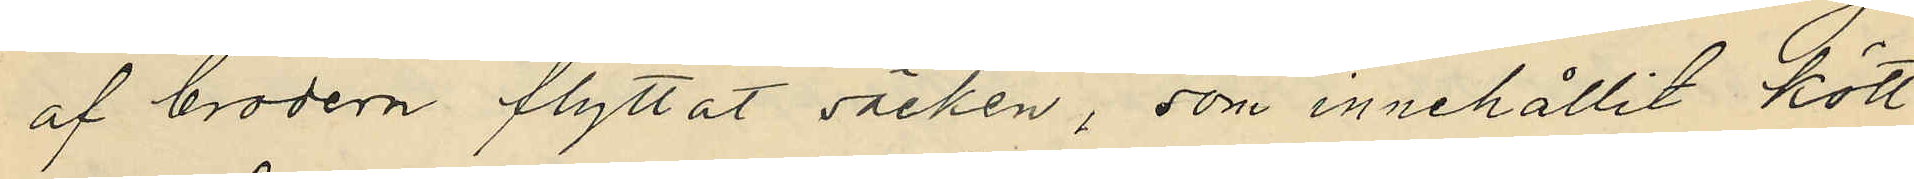af brodern flyttat säcken, som innehållit kött
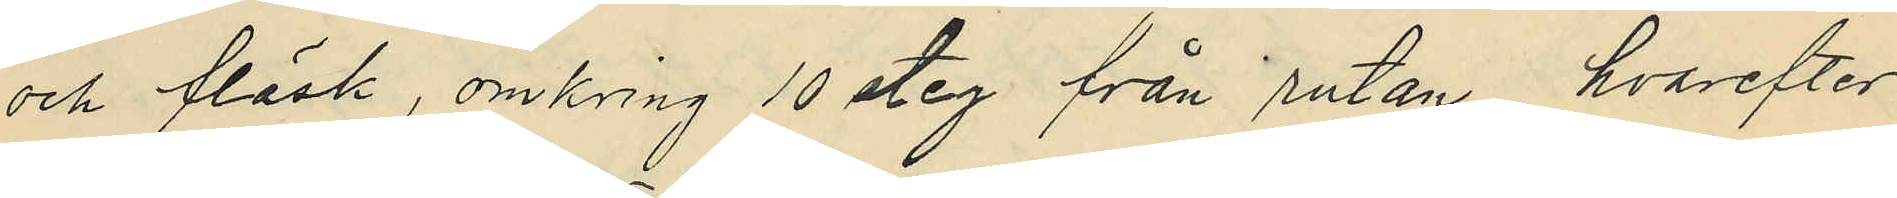och fläsk, omkring 10 steg från rutan, hvarefter
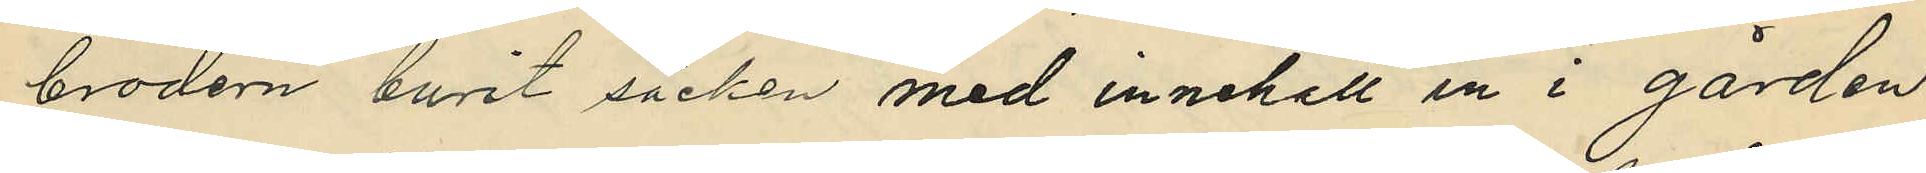brodern burit säcken med innehåll in i gården
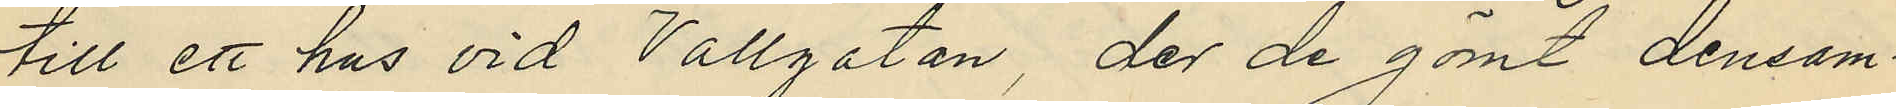till ett hus vid Vallgatan, der de gömt densam¬
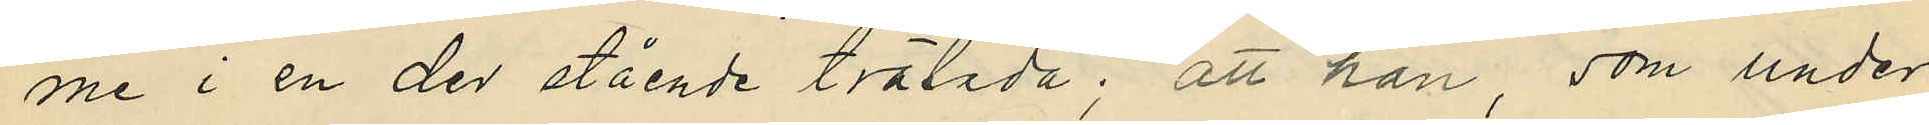me i en der stående trälåda; att han, som under
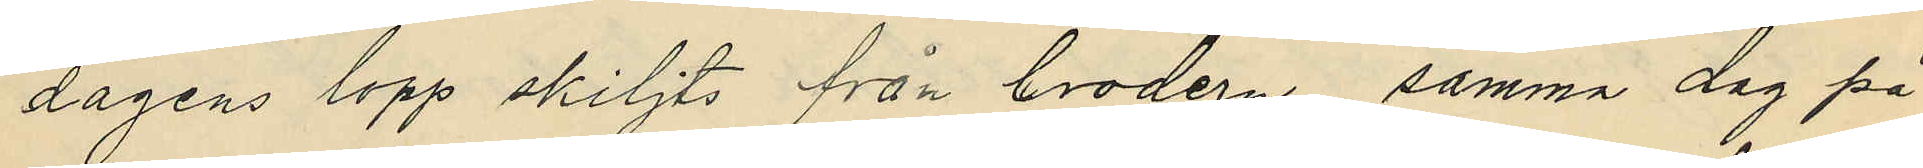dagens lopp skiljts från brodern samma dag på
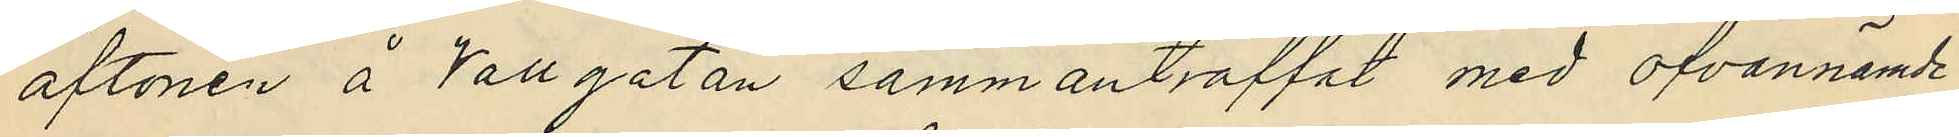aftonen å Vallgatan sammanträffat med ofvannämde
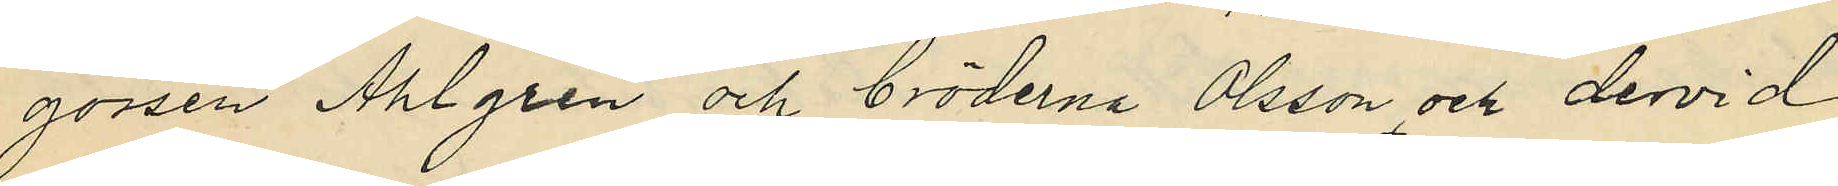gossen Ahlgren och bröderna Olsson och dervid
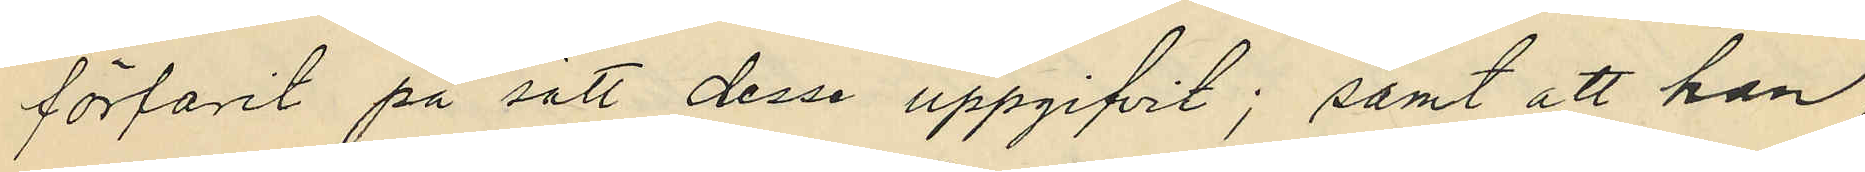förfarit på sätt desse uppgifvit; samt att han
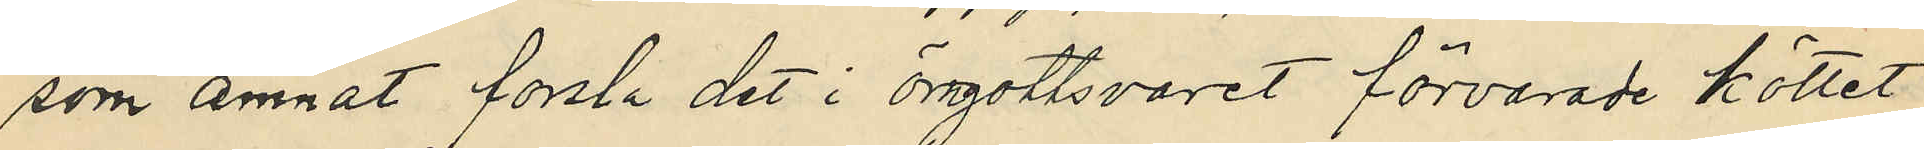som ämnat forsla det i örngottsvaret förvarade köttet
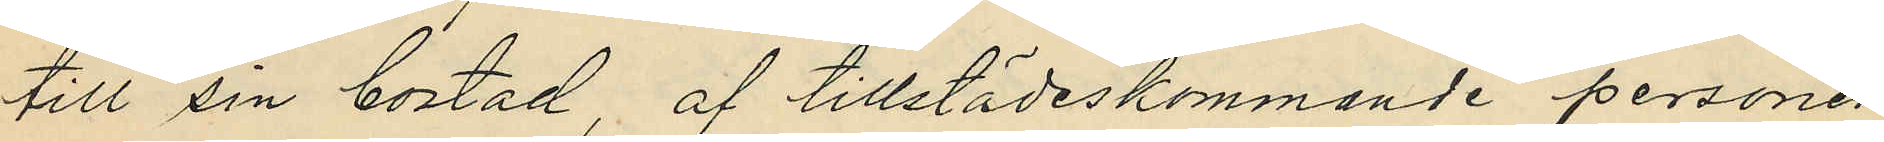till sin bostad, af tillstädeskommande personer
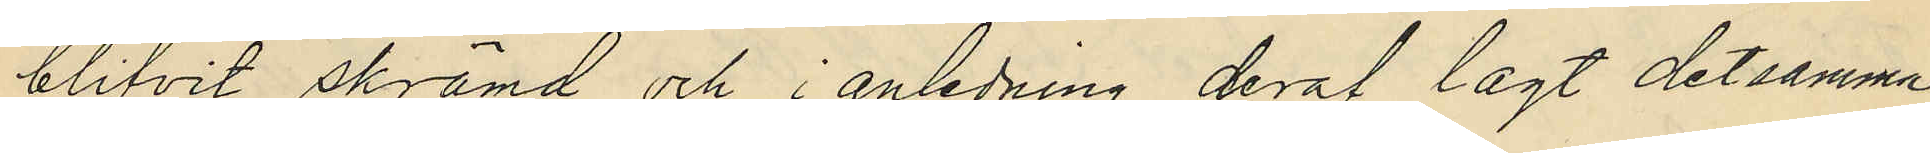blifvit skrämd och i anledning deraf lagt detsamma
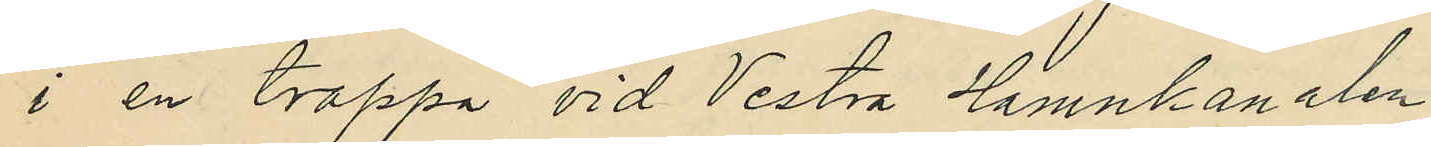i en trappa vid Vestra Hamnkanalen.
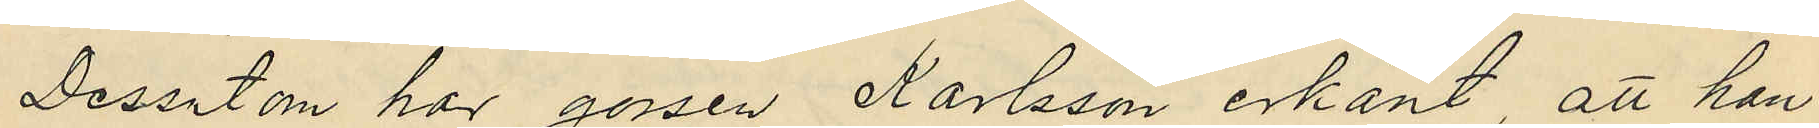Dessutom hor gossen Karlsson erkänt, att han
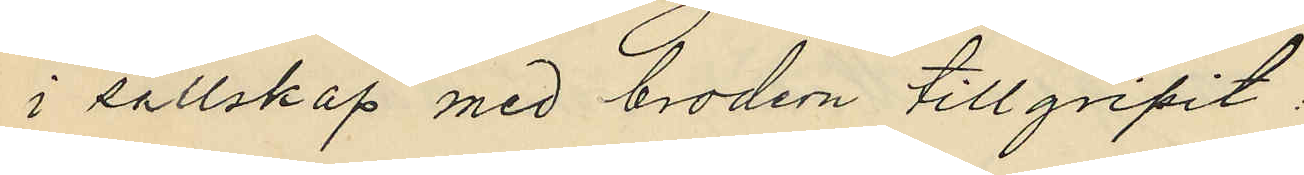i sällskap med brodern tillgripit:
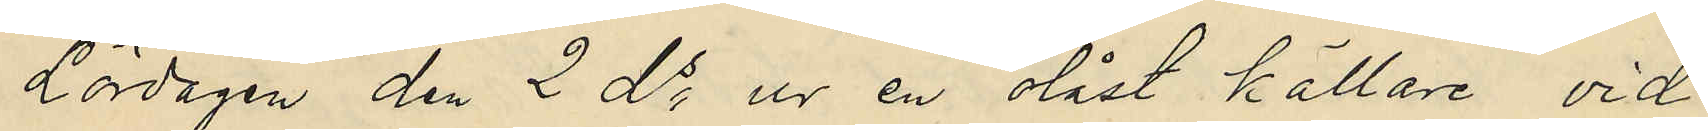Lördagen den 2 ds ur en olåst källare vid
